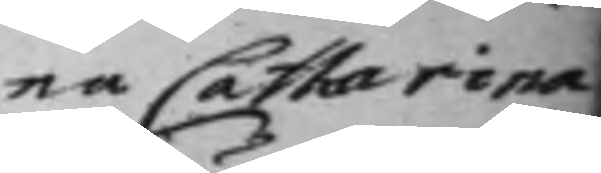na Catharina
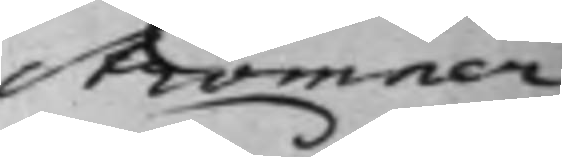Strömner
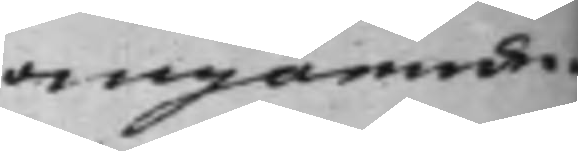angående.
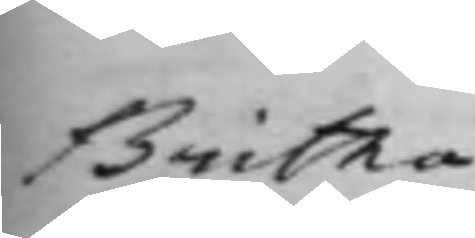Britha
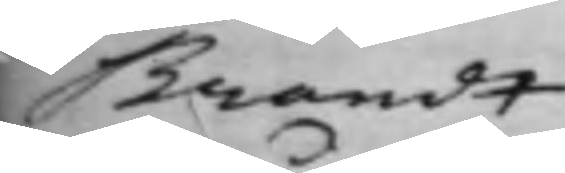Brandt
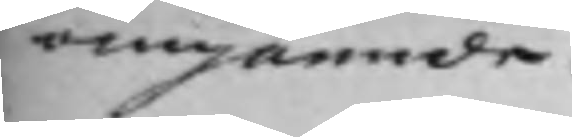angående.
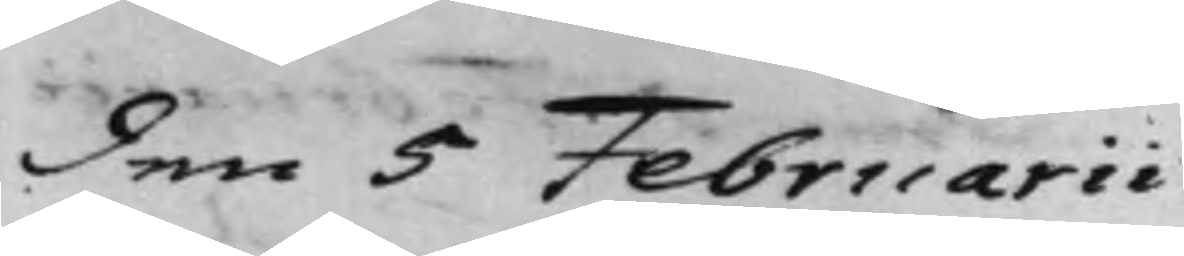den 5 Februarii
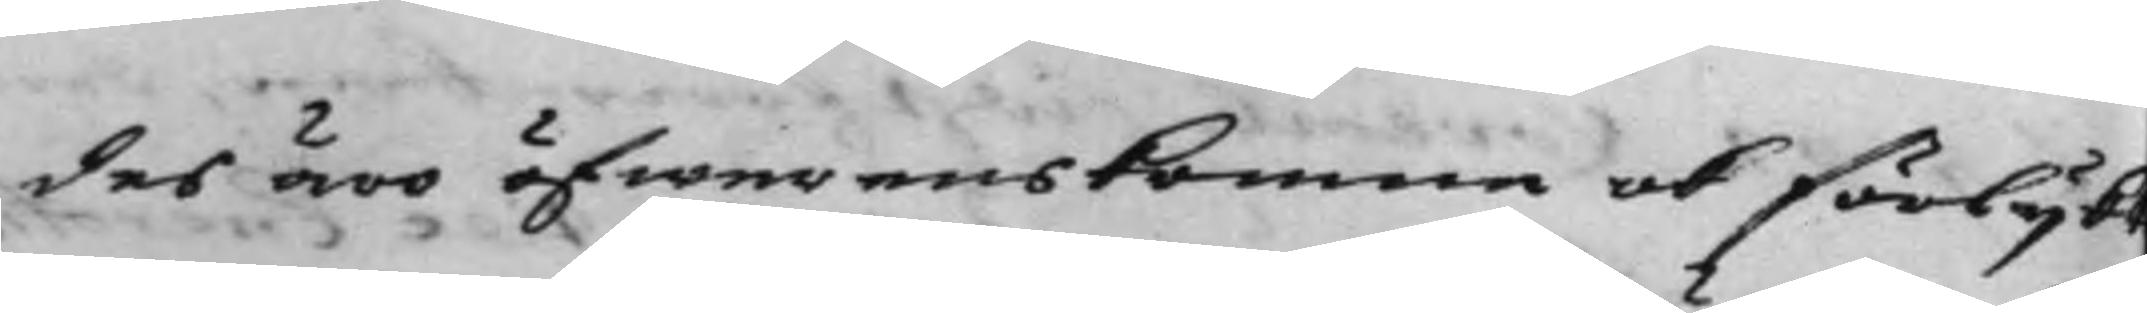des äro öfwerenskomne och förlijkt
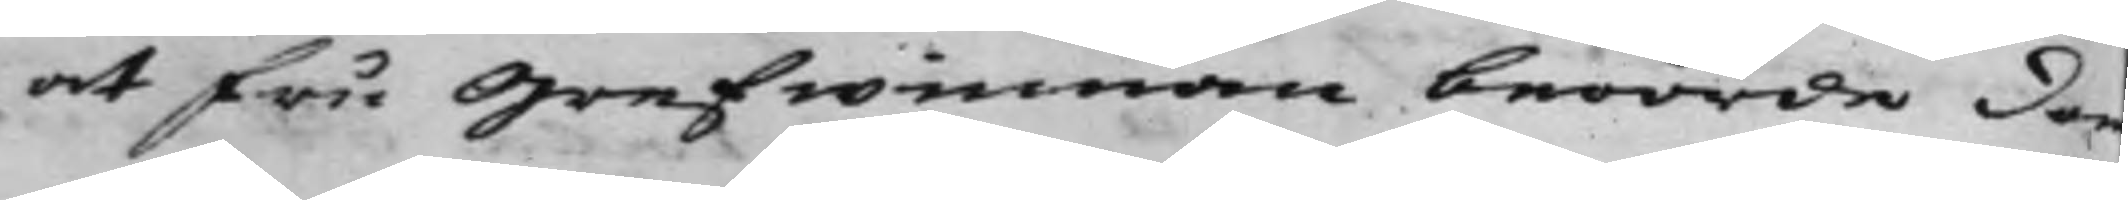at fru Grefwinnan berörde do
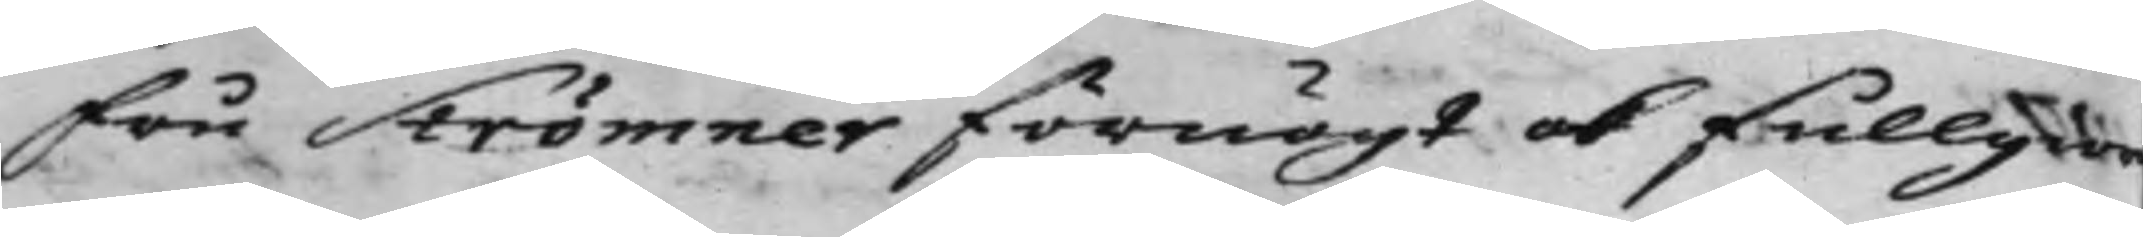Fru Strömner förnögt ok fullgior
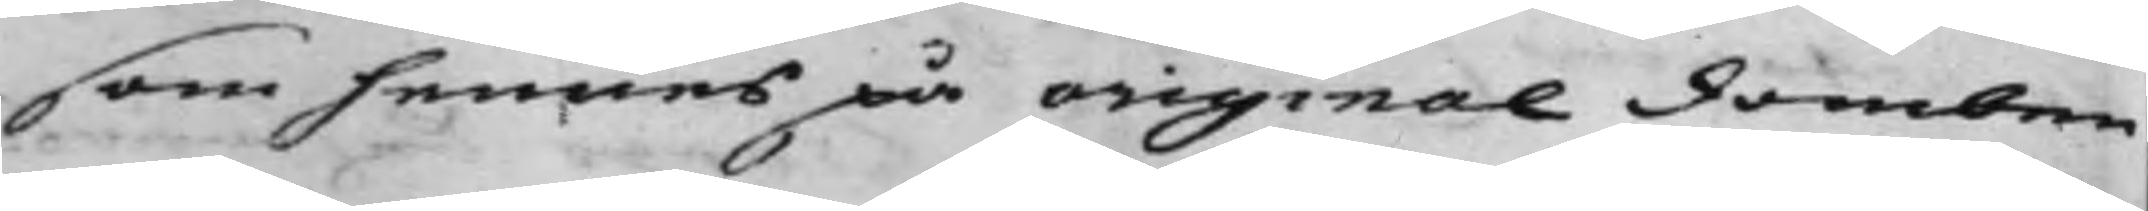som hennes på original domben
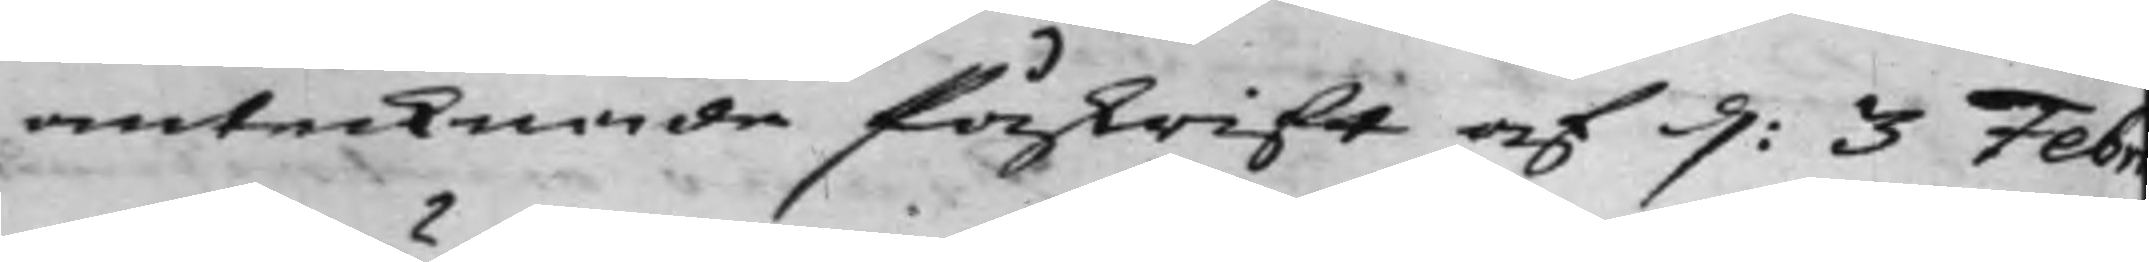antecknade Påskrift af d: 3 Febr¬
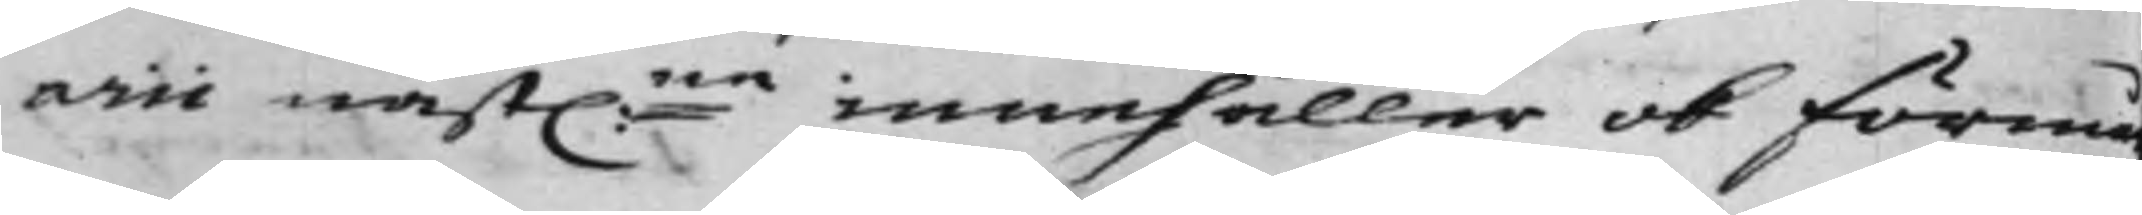arii näst:ne innehåller och förmä
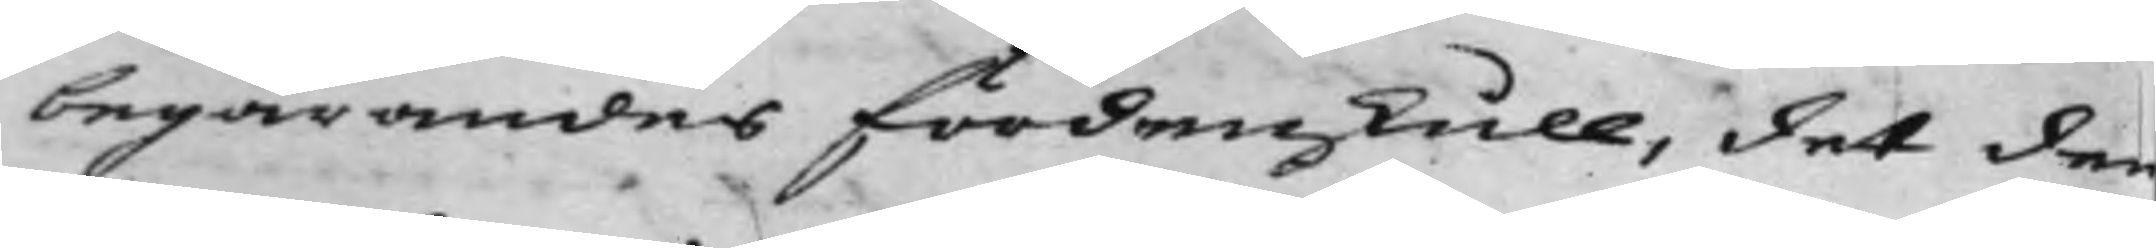begärandes fördenskull, det den¬
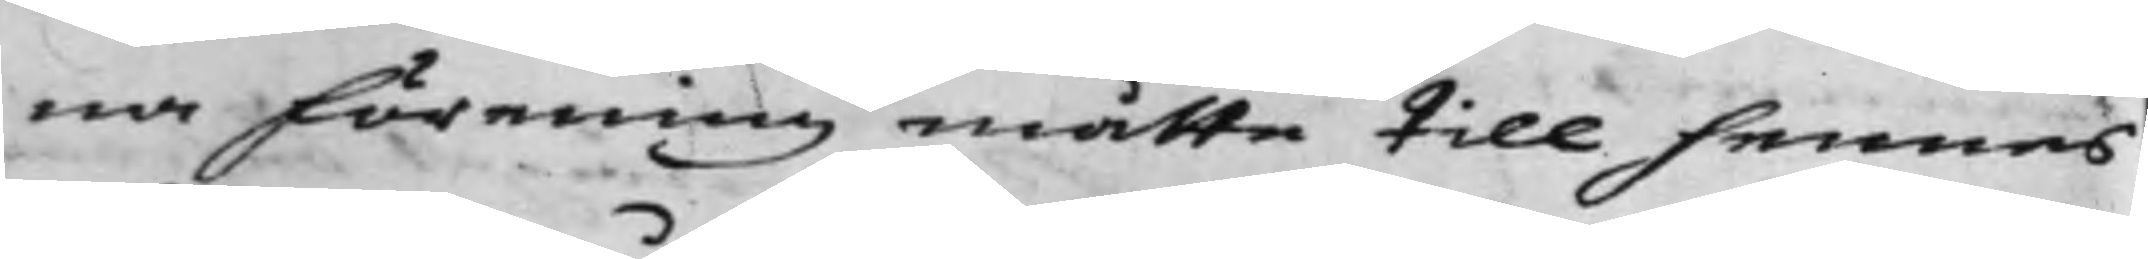na Förening måtte till hennes
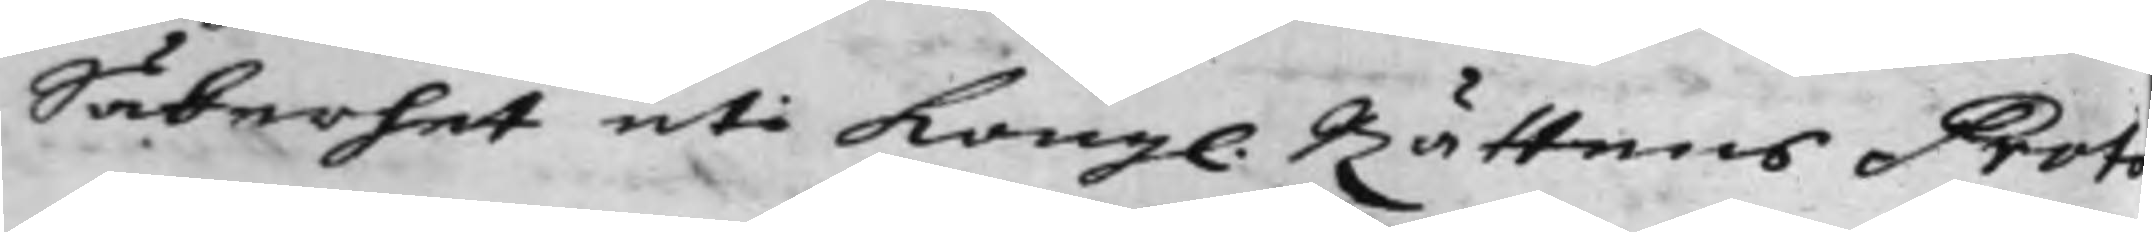Säkerhet uti Kongl. Rättens Proto¬
